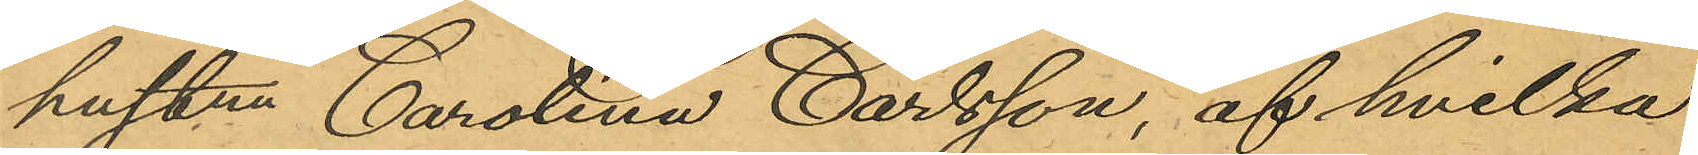hustru Carolina Carlsson, af hvilka
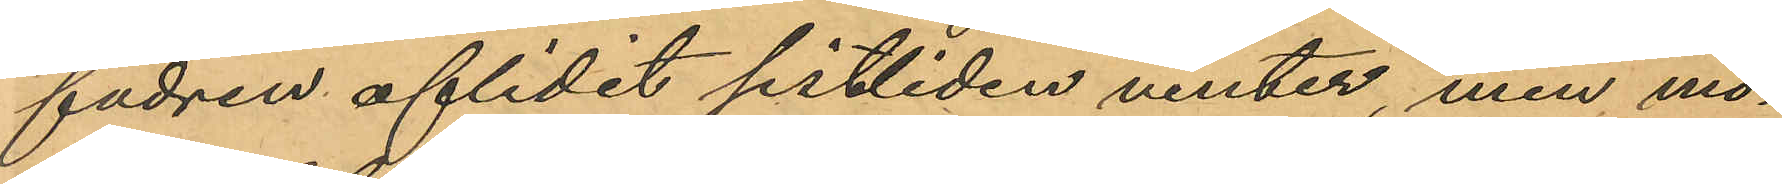fadren aflidit sistliden vinter, men mo¬
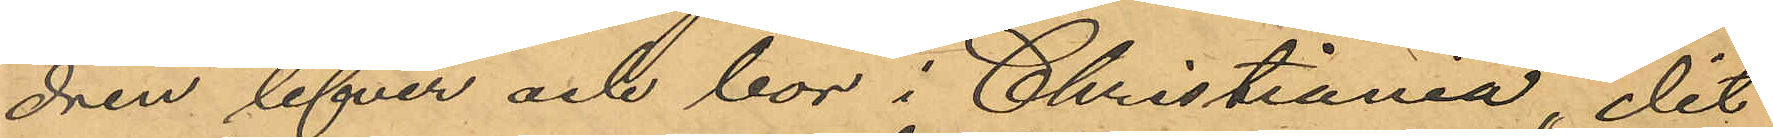dren lefver och bor i Christiania, dit
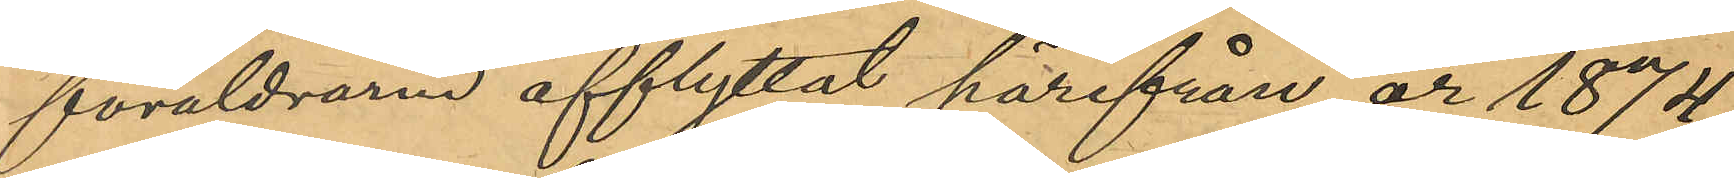föräldrarne afflyttat härifrån år 1874;
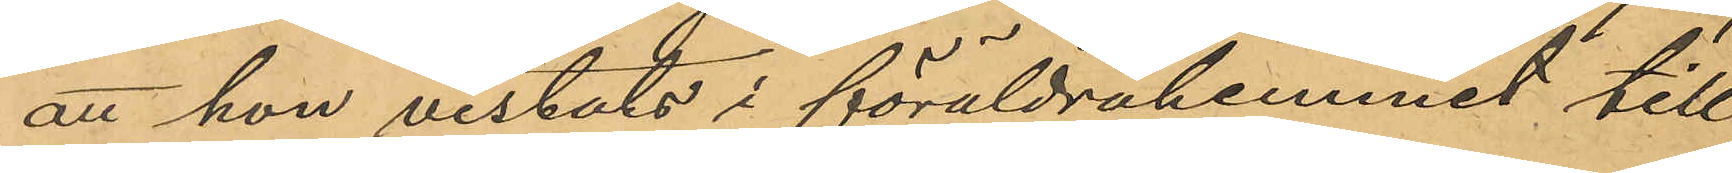att hon vistats i föräldrahemmet till
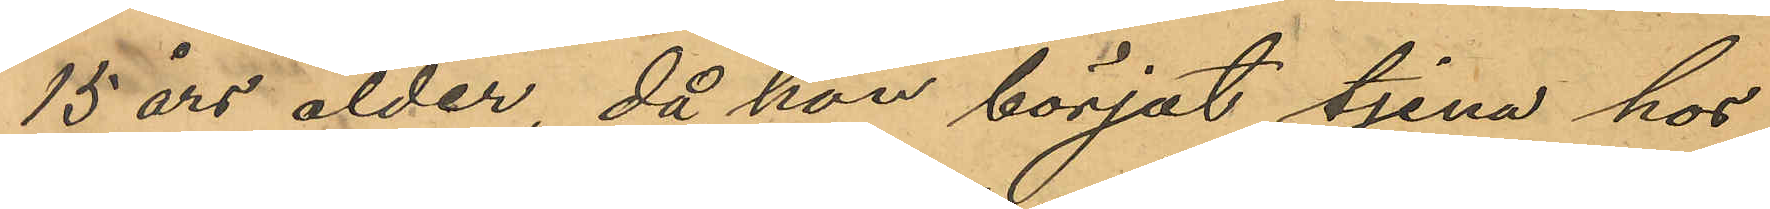15 års ålder, då hon börjat tjena hos
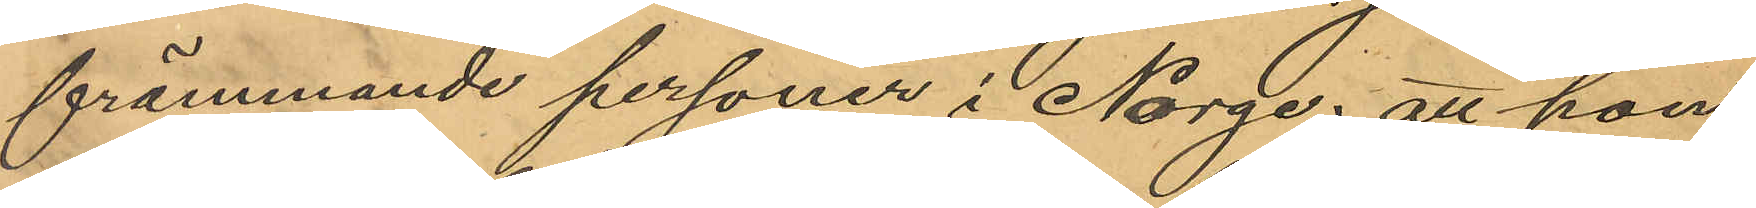främmande personer i Norge; att hon
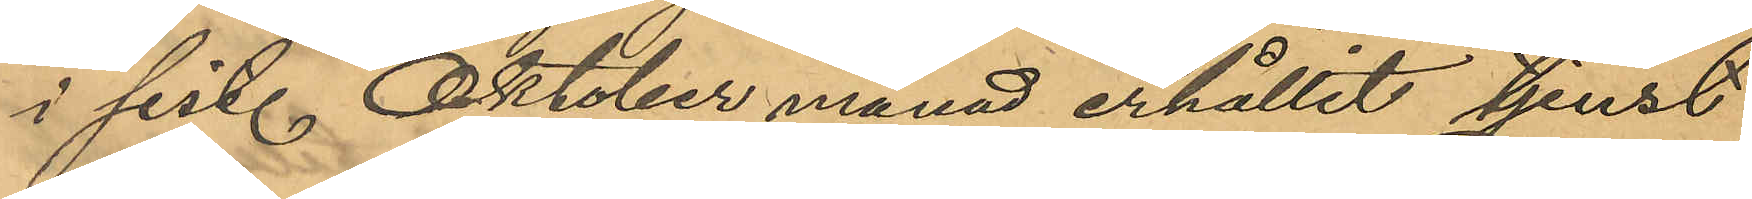i sist. Oktober månad erhållit tjenst
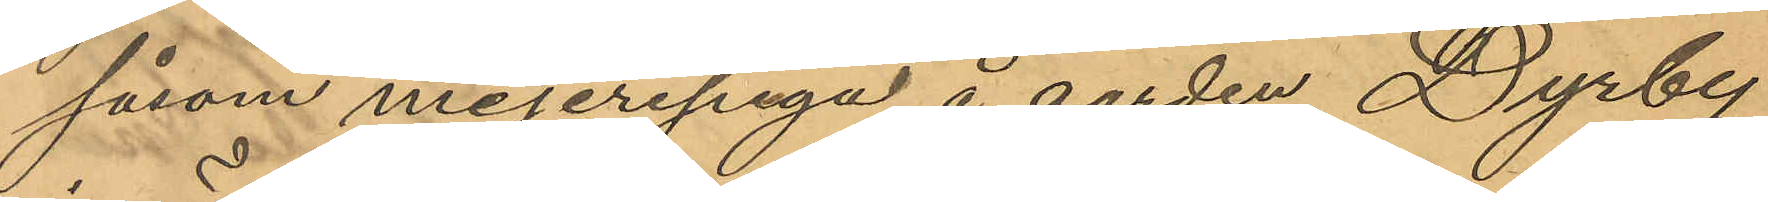såsom mejeripiga å gården Dyrby
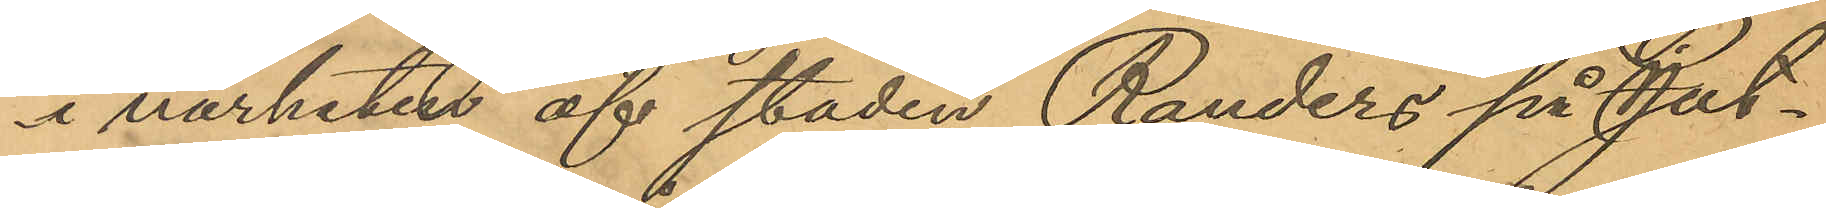i närheten af staden Randers på Jut¬
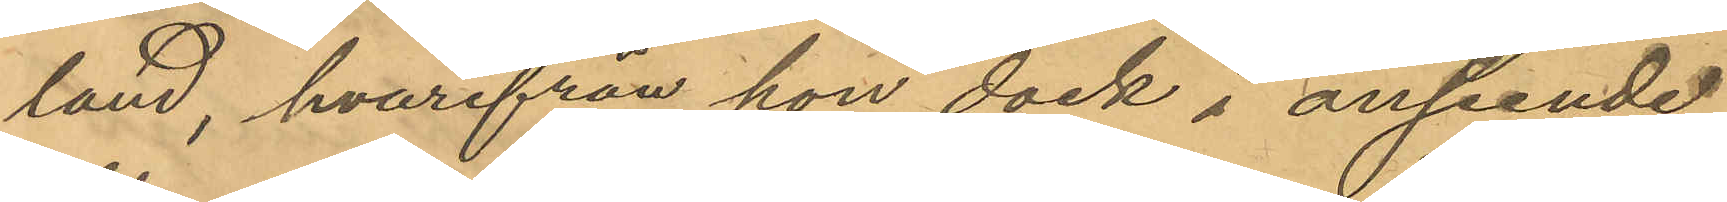land, hvarifrån hon dock i avseende
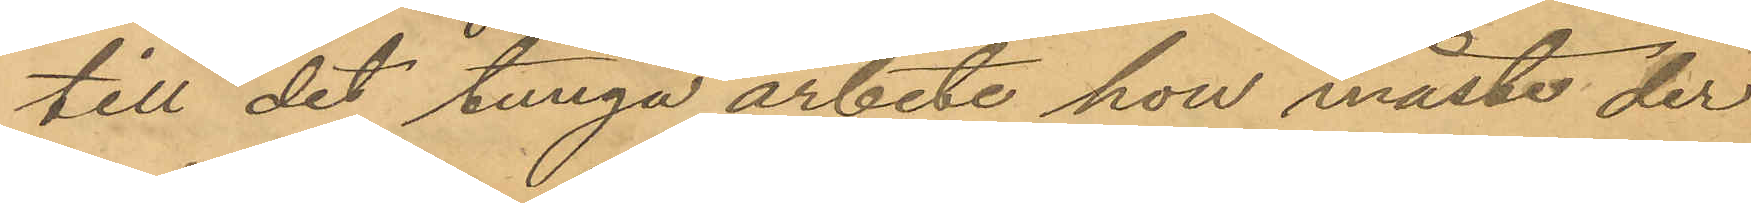till det tunga arbete hon måste der
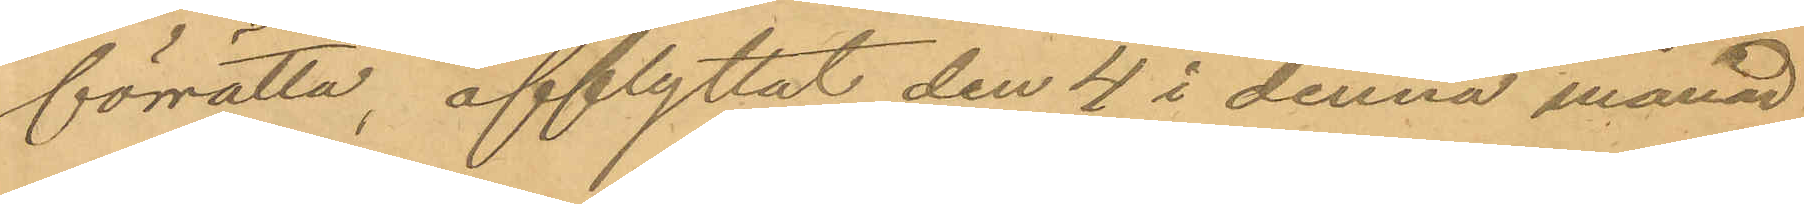förrätta, afflyttat den 4 i denna månad
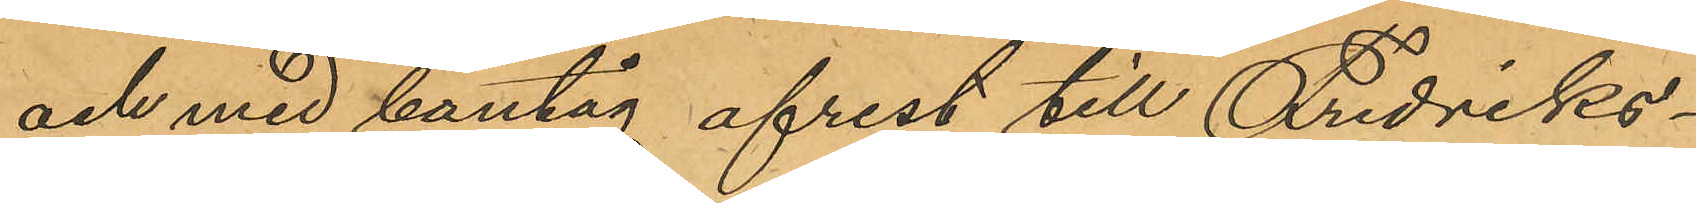och med bantåg afrest till Fredriks¬
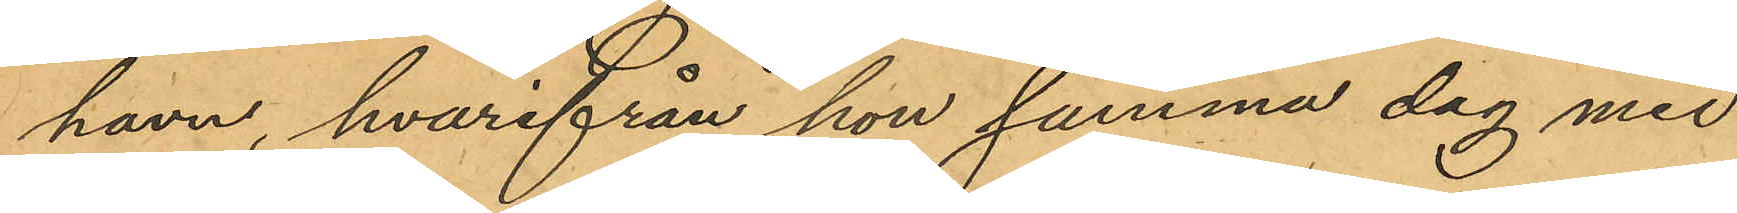havn, hvarifrån hon samma dag med
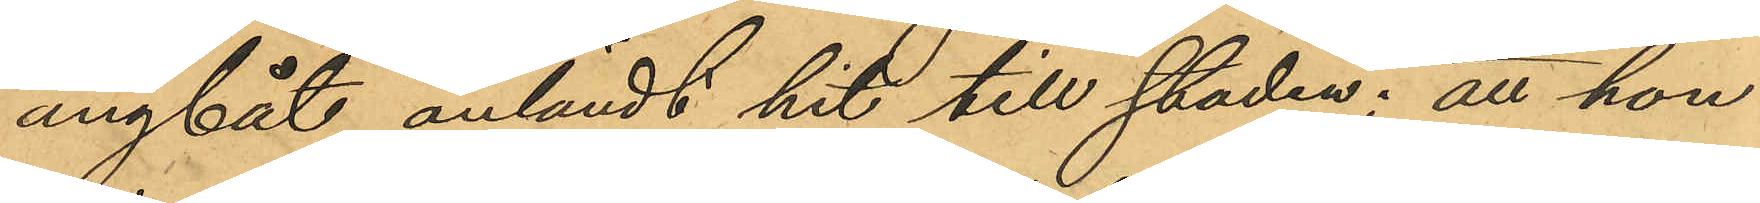ångbåt anländt hit till staden; att hon
